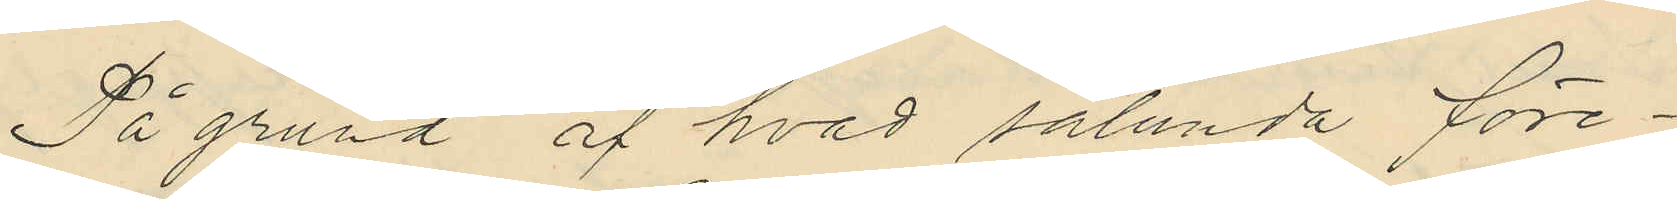På grund af hvad sålunda före¬
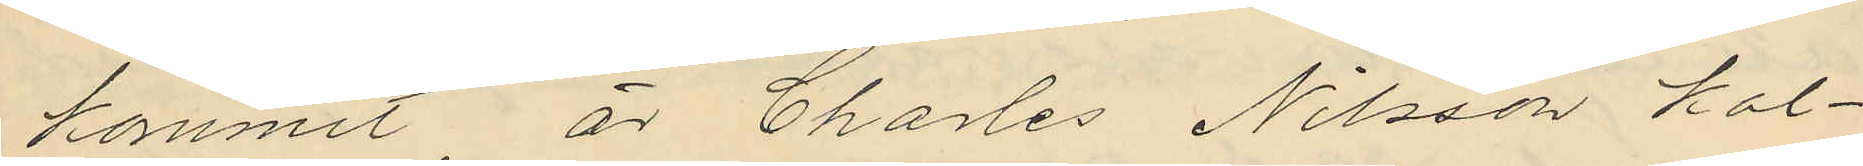kommit är Charles Nilsson kal¬
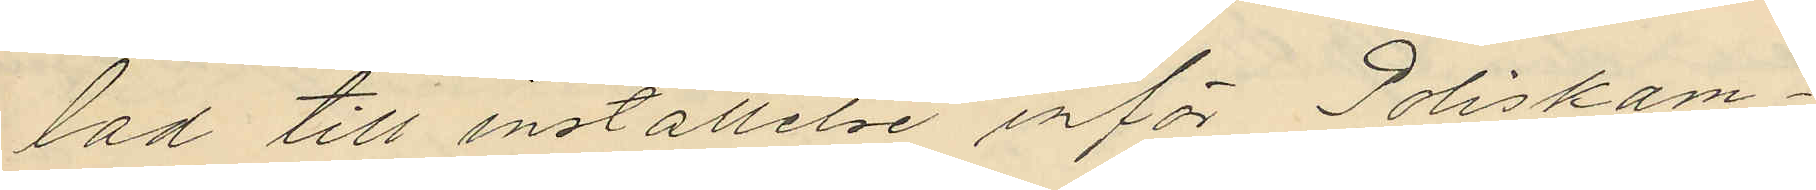tad till inställelse inför Poliskam¬
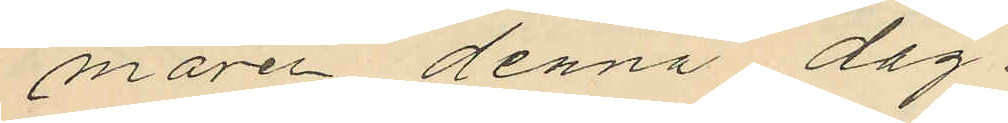maren denna dag.
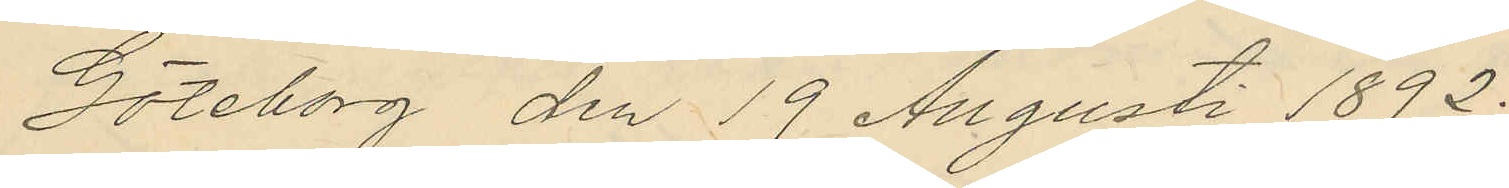Göteborg den 19 Augusti 1892.
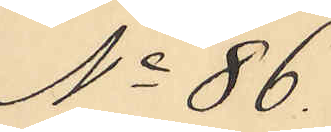No 86.
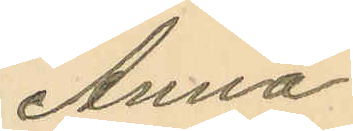Anna
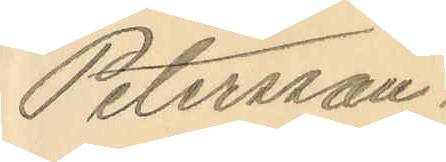Petersson.
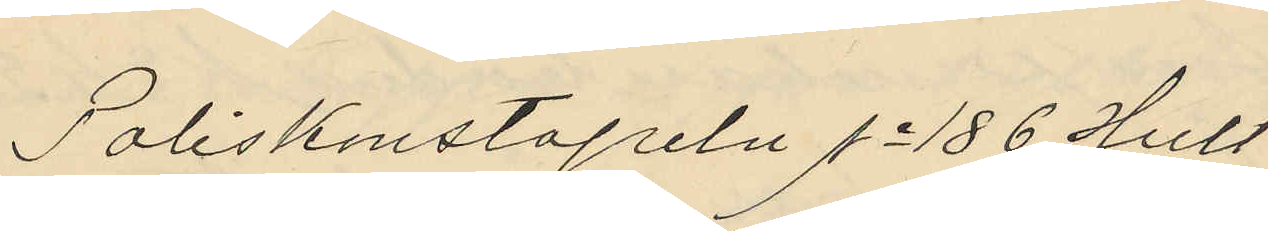Poliskonstapeln No 186 Hult
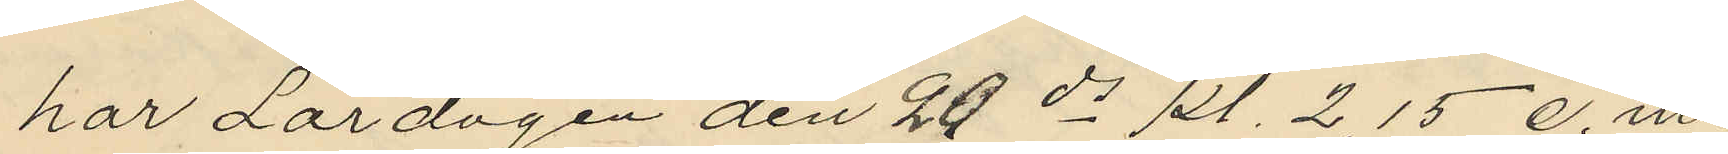har Lördagen den 20 ds kl. 2,15 e.m.
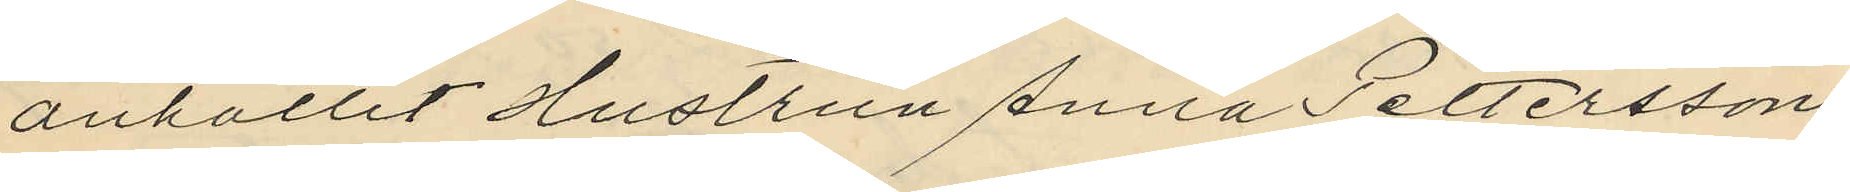anhållit Hustrun Anna Pettersson
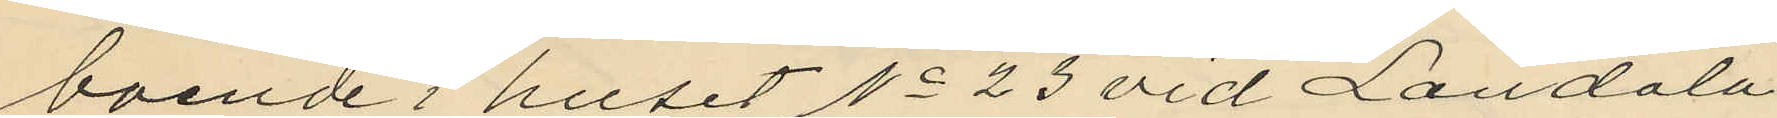boende i huset No 23 vid Landala
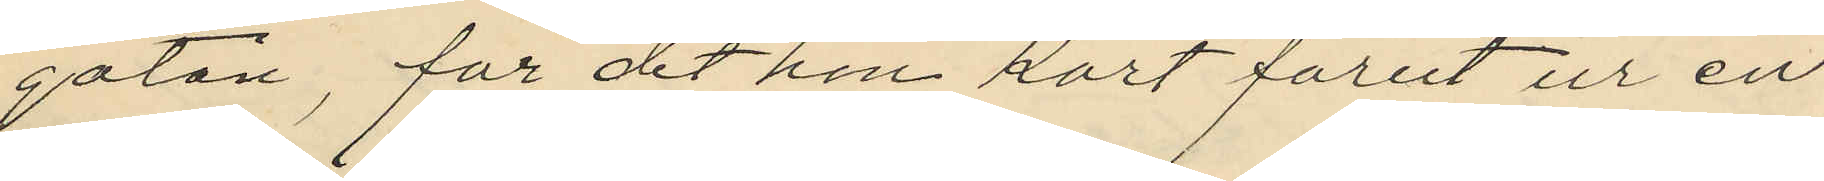gatan, för det hon kort förut ur en
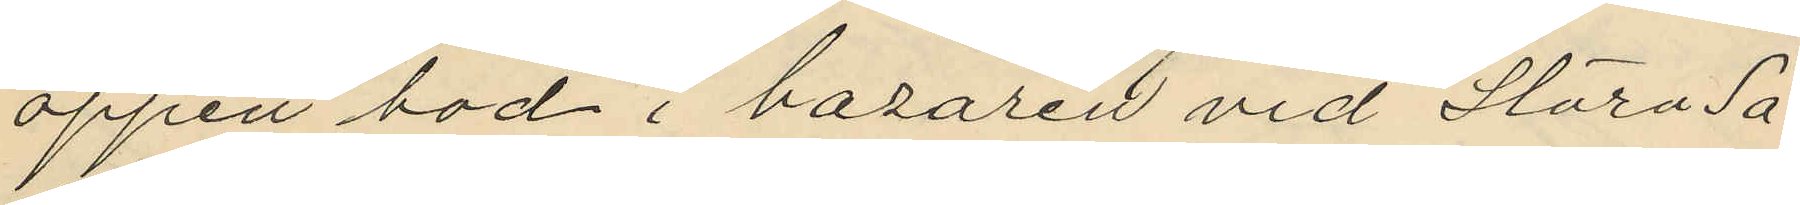öppen bod i bazaren vid Stora Sa¬
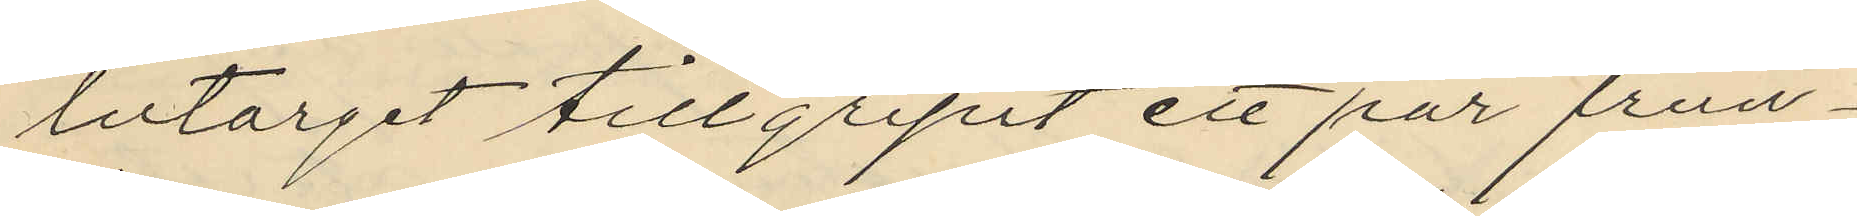lutorget tillgripit ett par frun¬
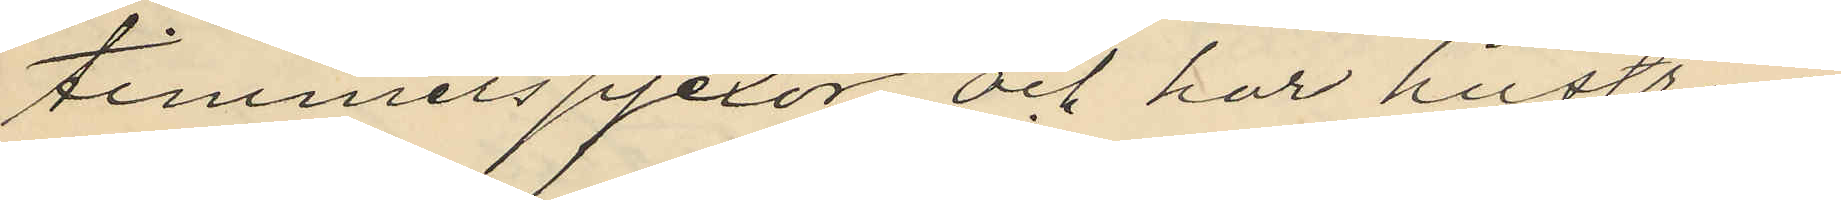timmerspjexor och har hustrun
